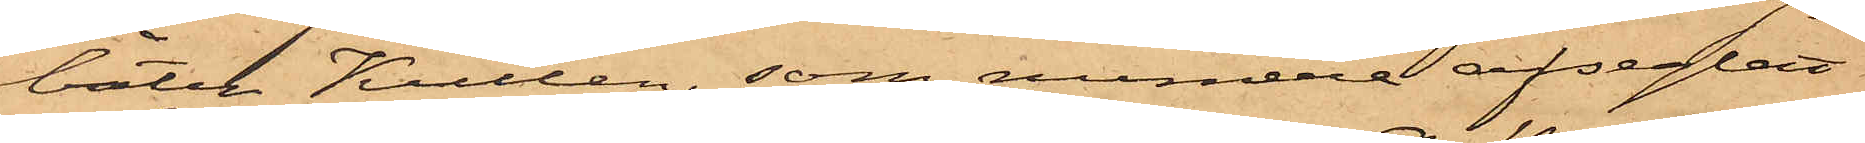båten Kullen, som numera afseglat
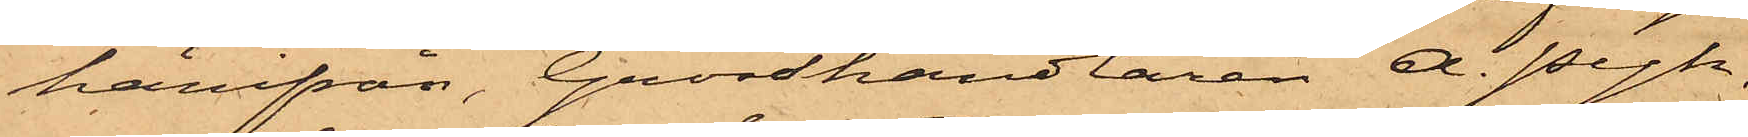härifrån, Grosshandlaren A. Pyk,
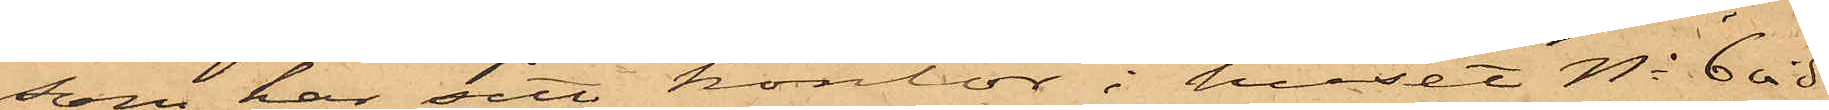som har sitt kontor i huset No 6 vid
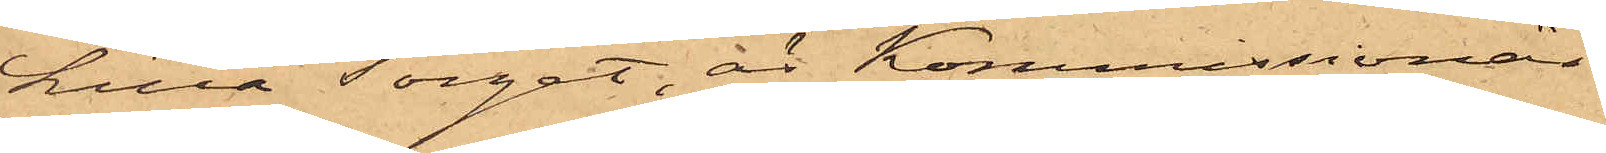Lilla Torget, är Kommissionär.
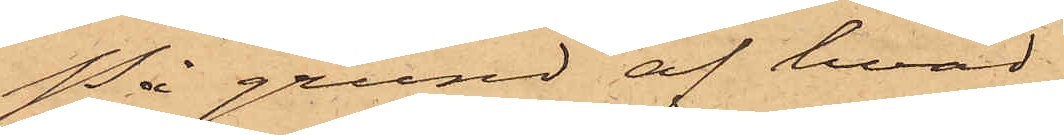På grund af hvad
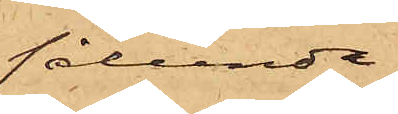sålunda
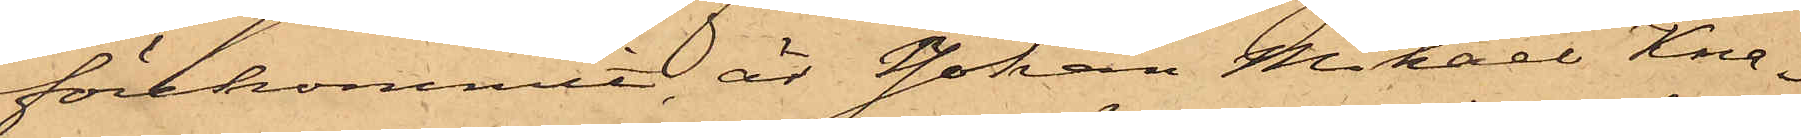förekommit, är Johan Mikael Kna¬
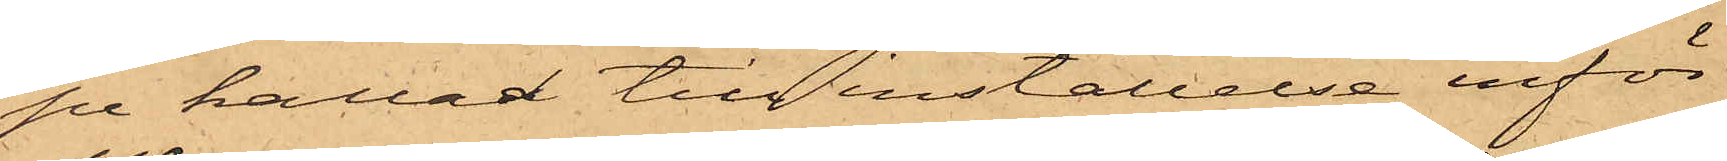pe kallad till inställelse inför
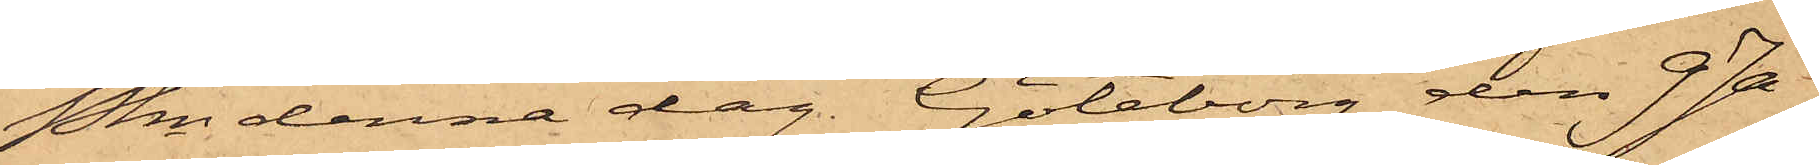Pkn denna dag. Göteborg den 9 Ja¬
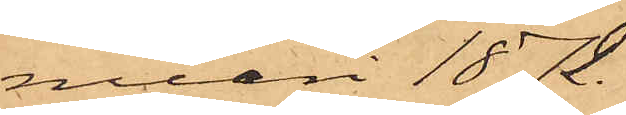nuari 1872.
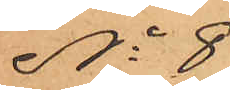No 8
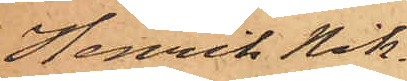Henrik Nik¬
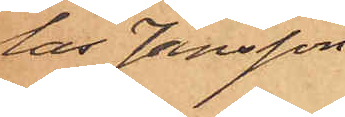las Jansson
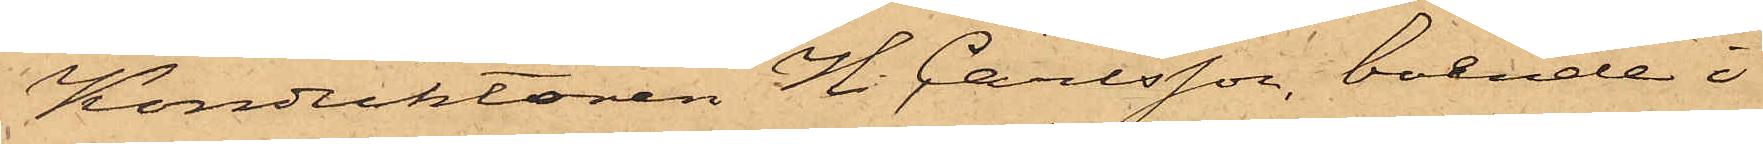Konduktören H. Carlsson, boende i
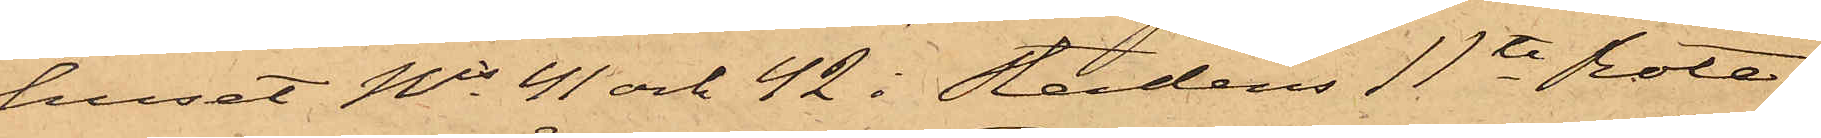huset Nis 41 och 42 i stadens 11te Rote
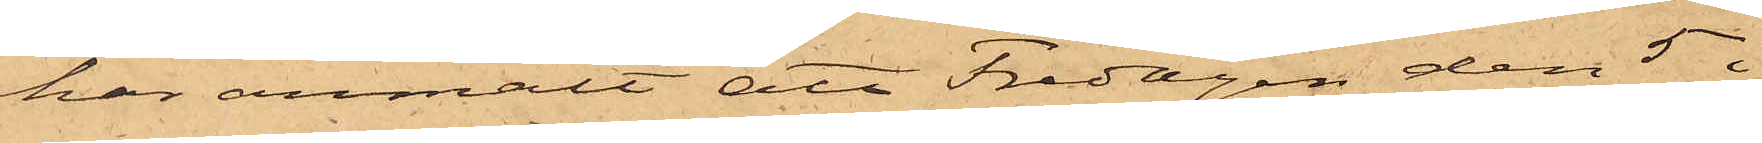har anmält att Fredagen den 5 i
